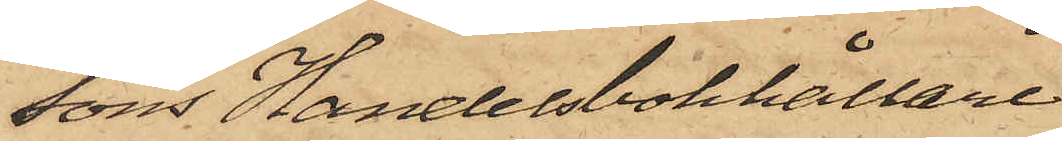sons Handelsbokhållare
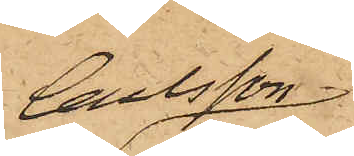Carlsson
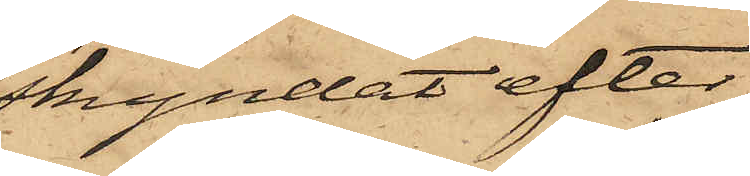skyndat efter
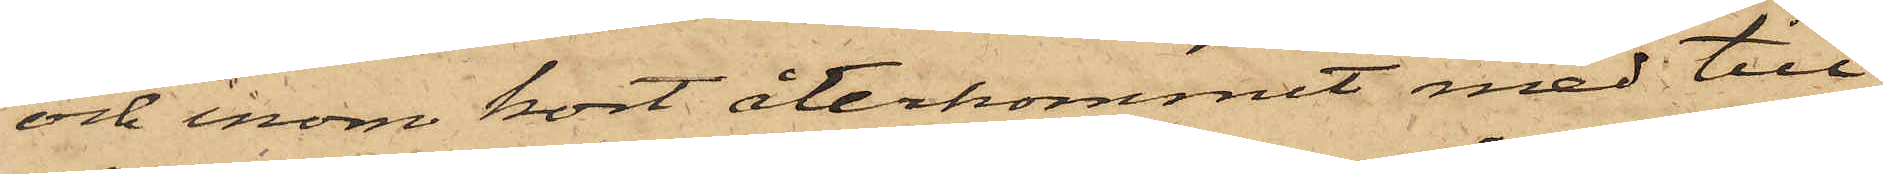och inom kort återkommit med till¬
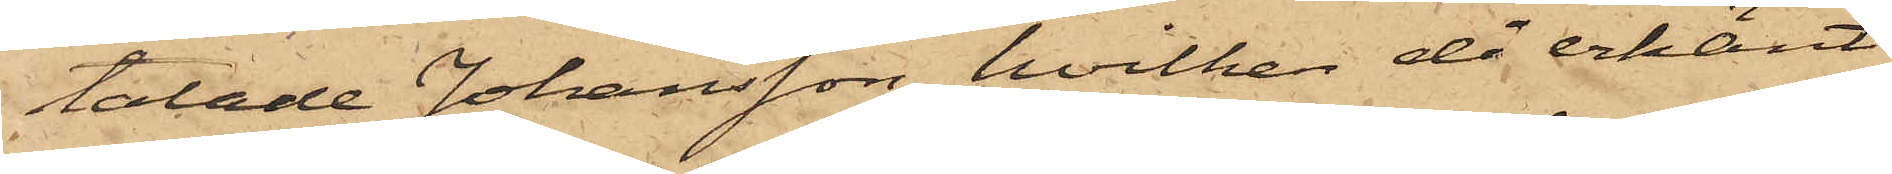talade Johansson, hvilken då erkänt
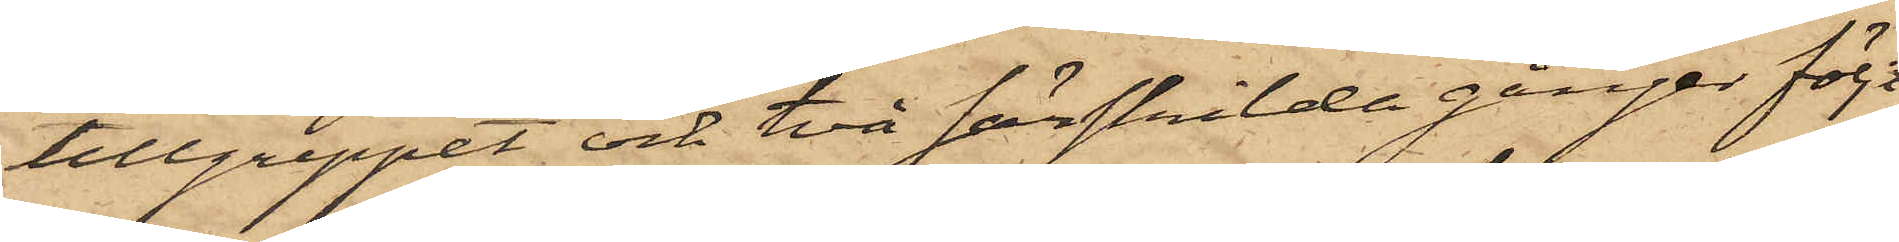tillgreppet och två särskilda gånger följt
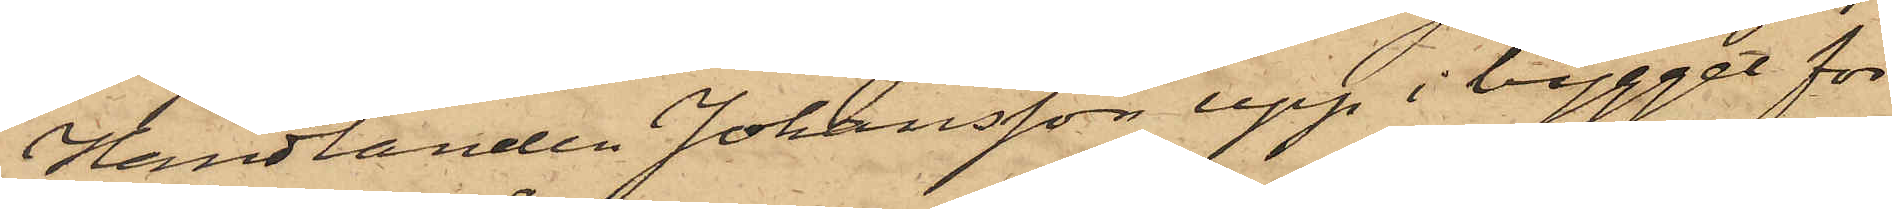handlanden Johansson upp i bygget för
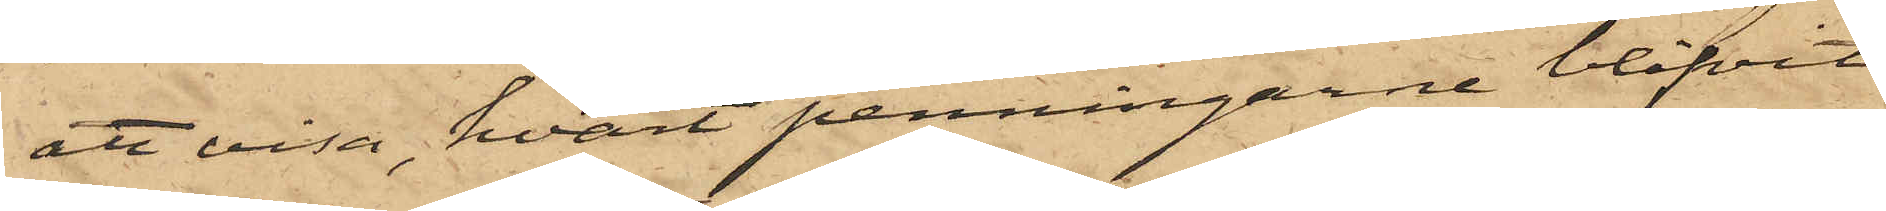att visa, hvart penningarne blifvit
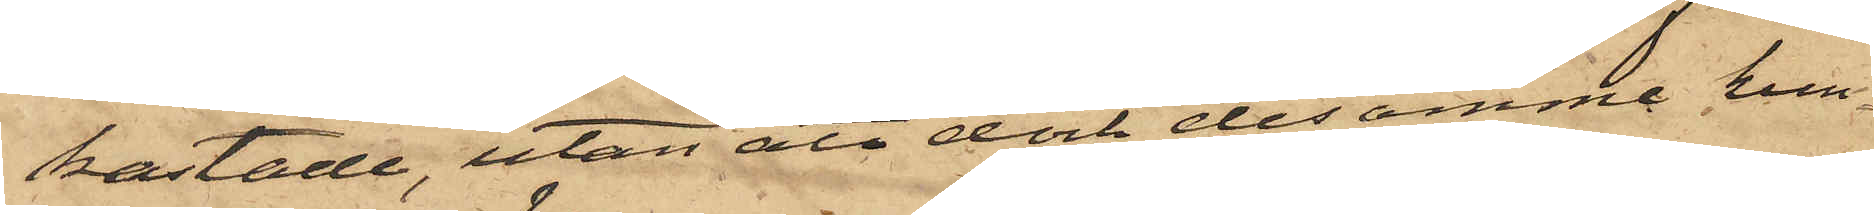kastade, utan att dock desamme kun¬
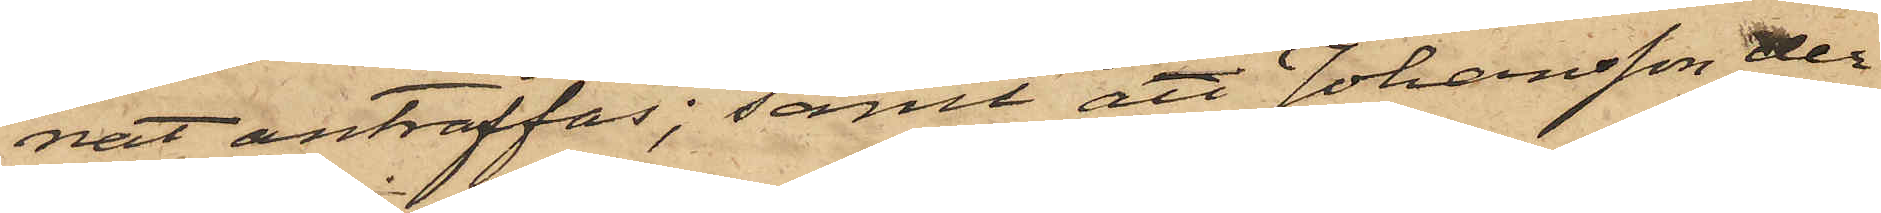nat anträffas; samt att Johansson der¬
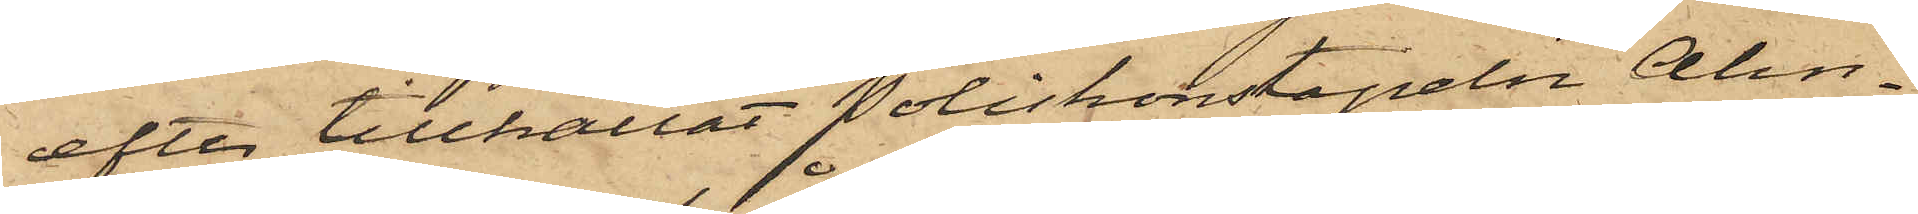efter tillkallat Poliskonstapeln Alm¬
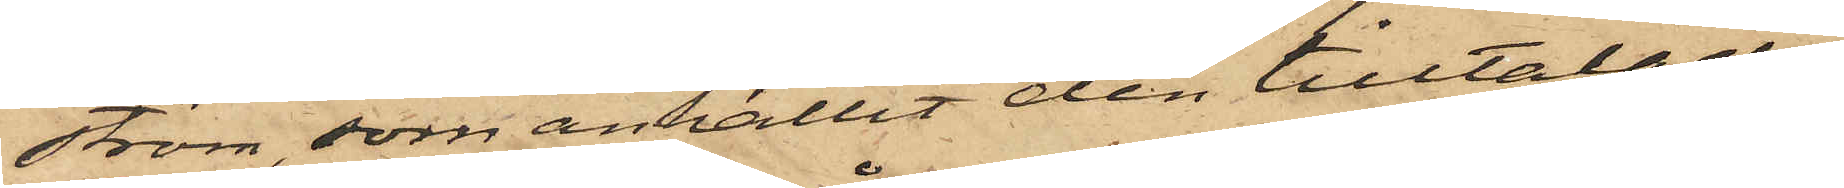ström, som anhållit den tilltalade.
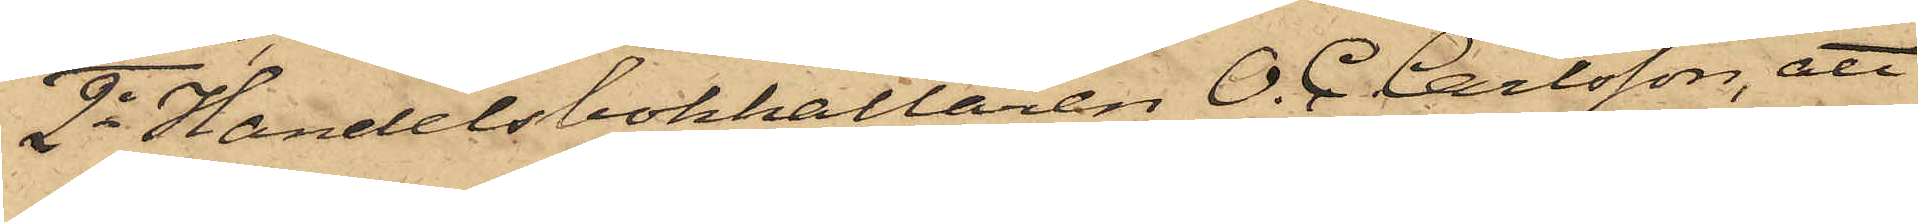2o Handelsbokhållaren O. C. Carlsson, att
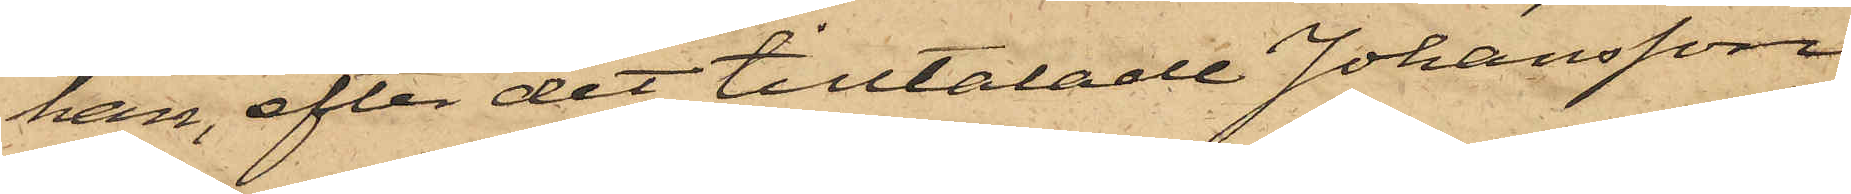han, efter det tilltalade Johansson
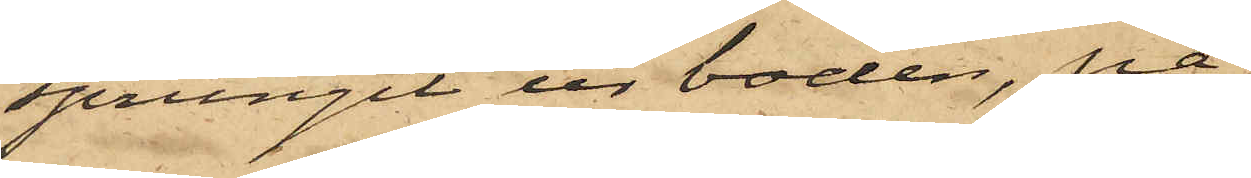sprungit ur boden, på¬
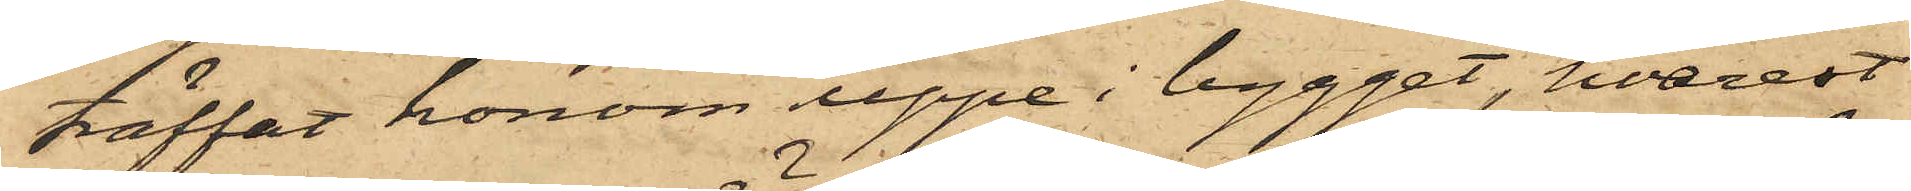träffat honom uppe i bygget, hvarest
